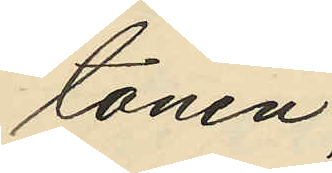tonen;
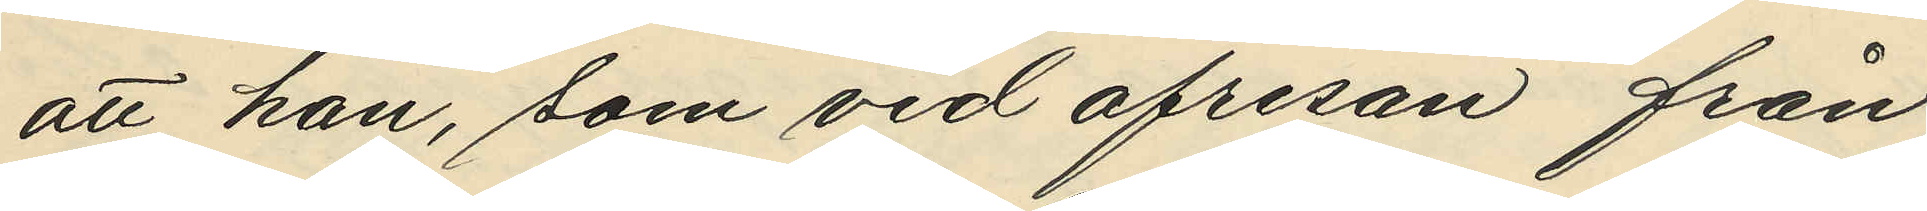att han, som vid afresan från
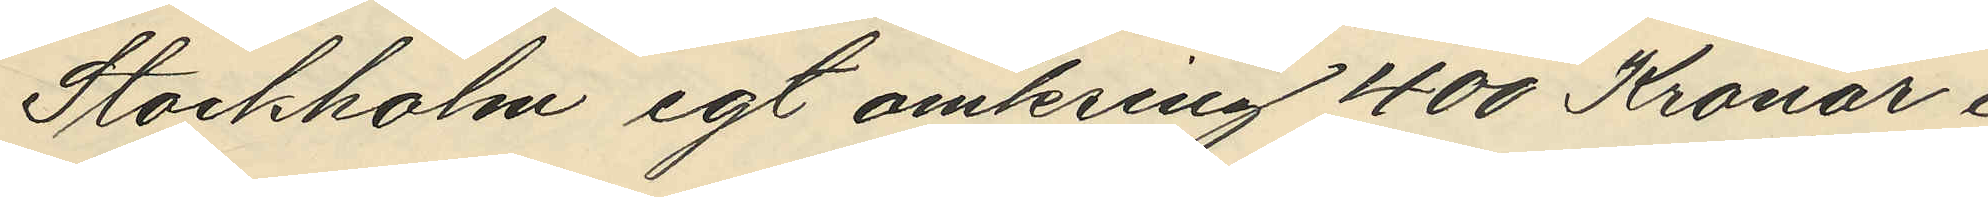Stockholm egt omkring 400 Kronor i
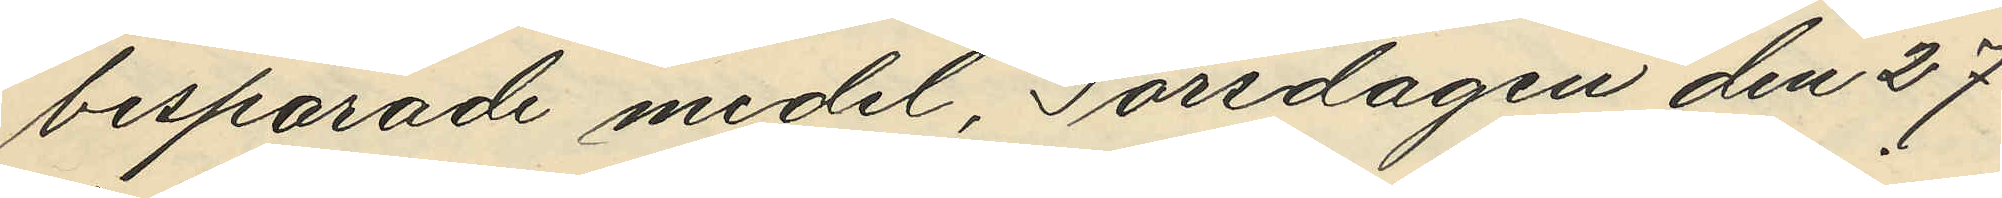besparade medel, Torsdagen den 27
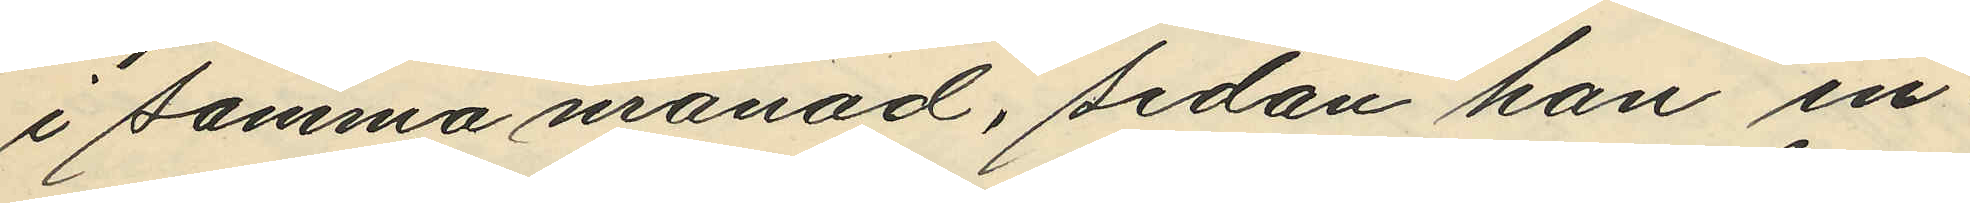i samma månad, sedan han in¬
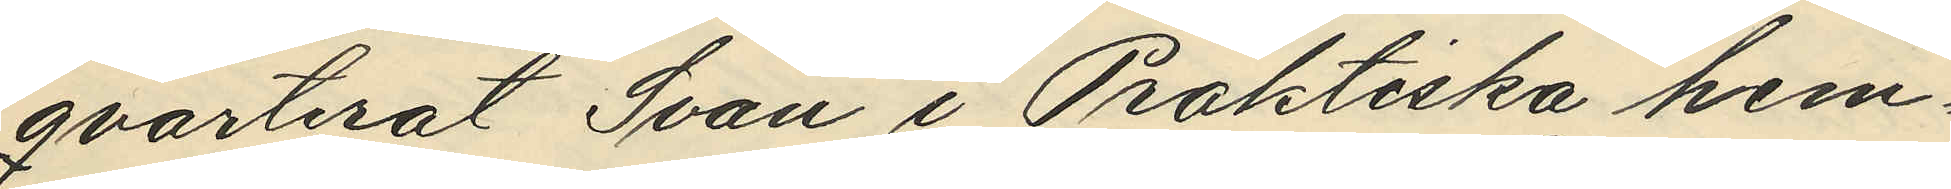qvarterat Svan i Praktiska hem¬
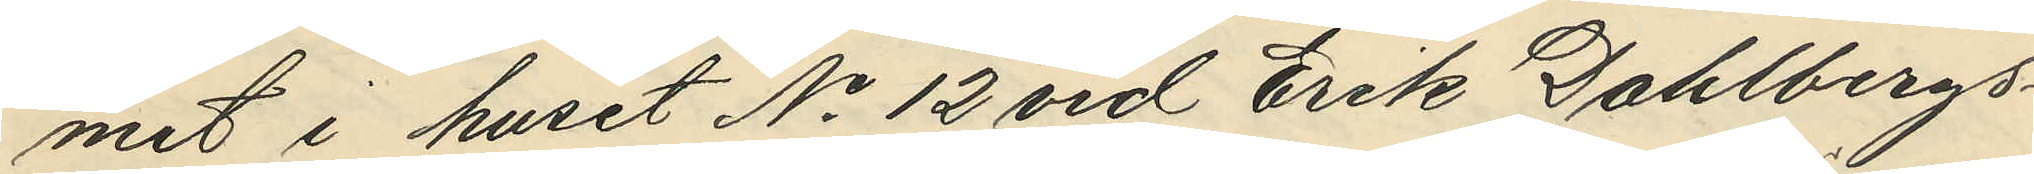met i huset No 12 vid Erik Dahlbergs¬
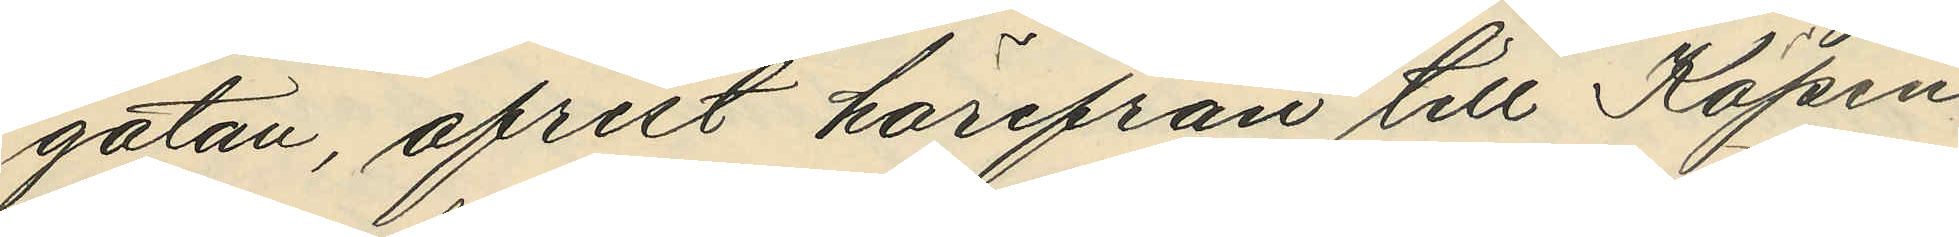gatan, afrest härifrån till Köpen¬
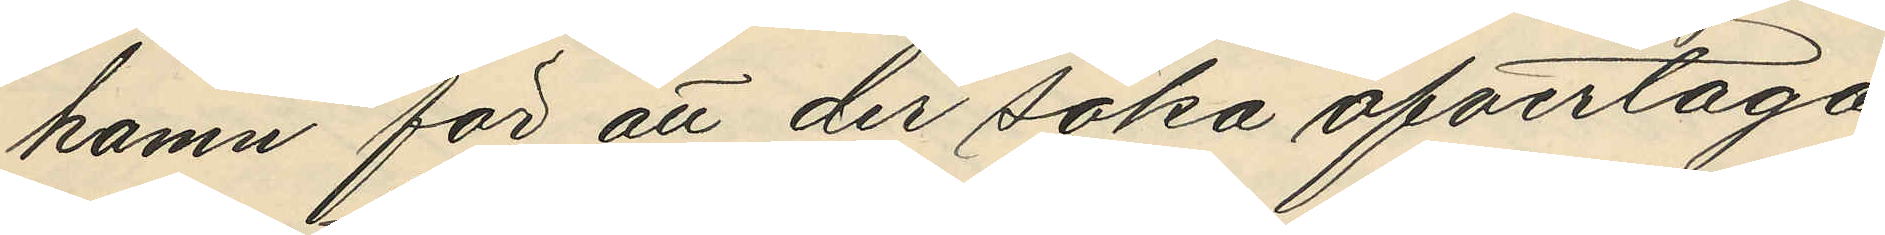hamn för att der söka öfvertaga
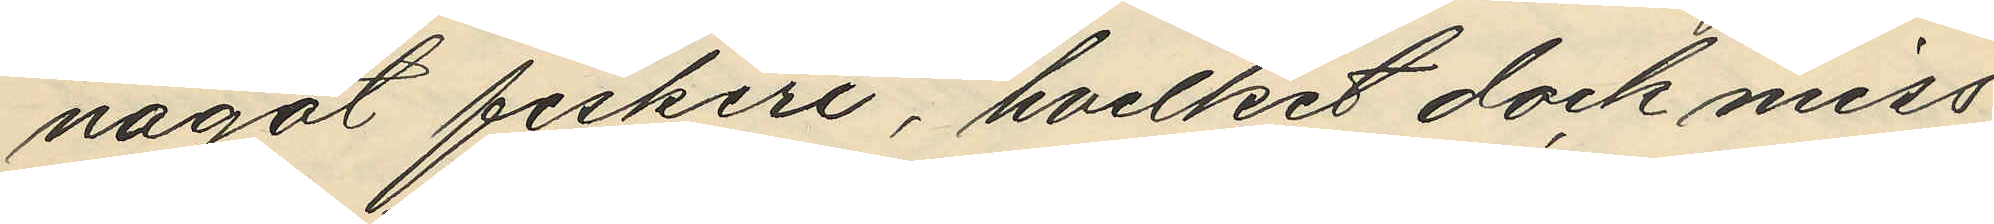något fiskeri, hvilket dock miss¬
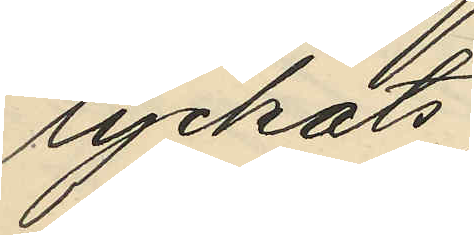lyckats;
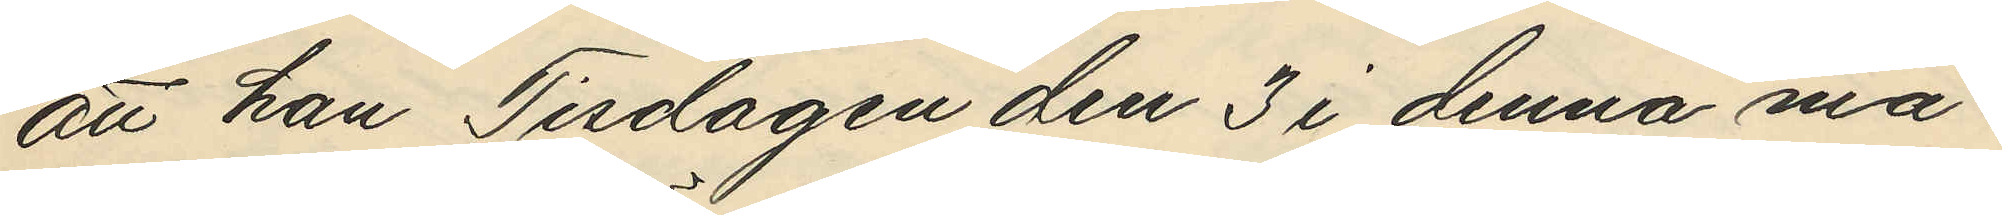att han Tisdagen den 3 i denna må¬
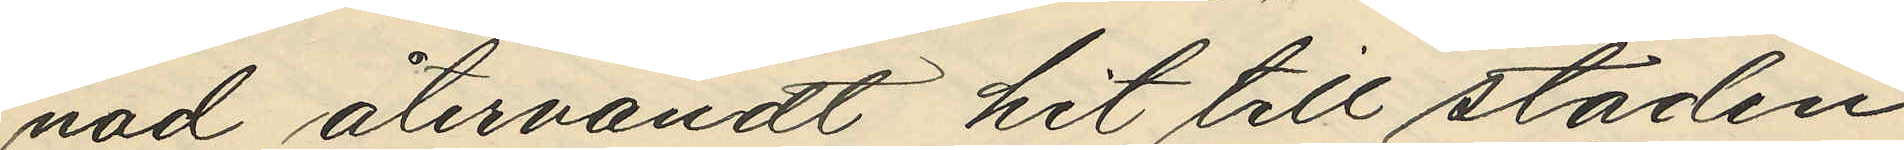nad återvändt hit till staden,
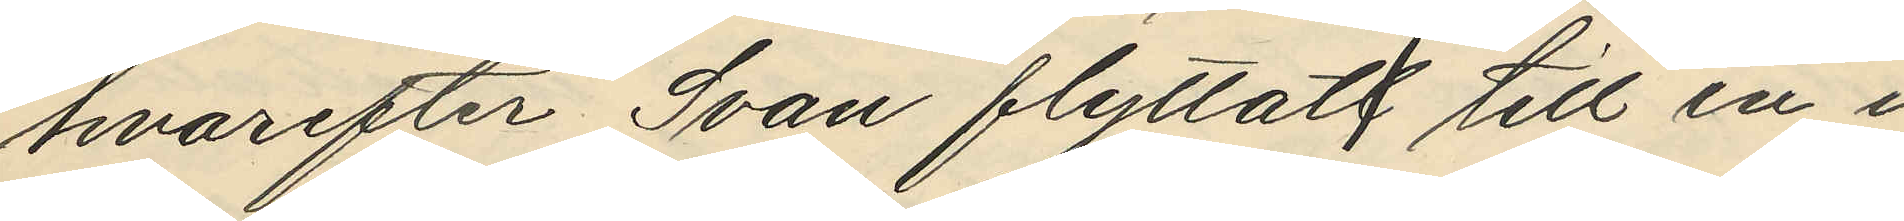hvarefter Svan flyttat till in i
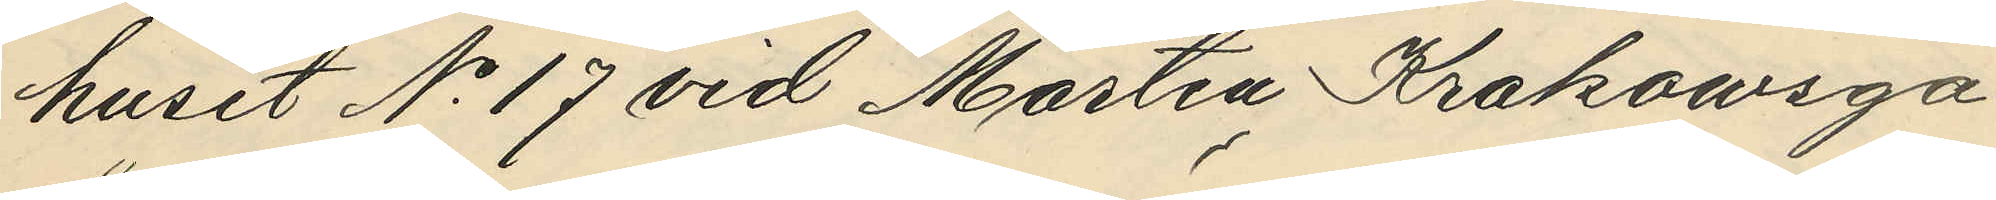huset No 17 vid Martin Krokowsga¬
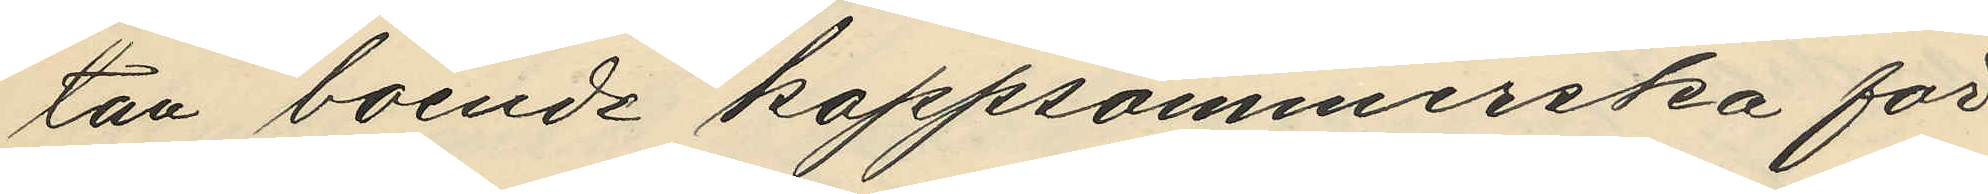tan boende kappsömmerska för
